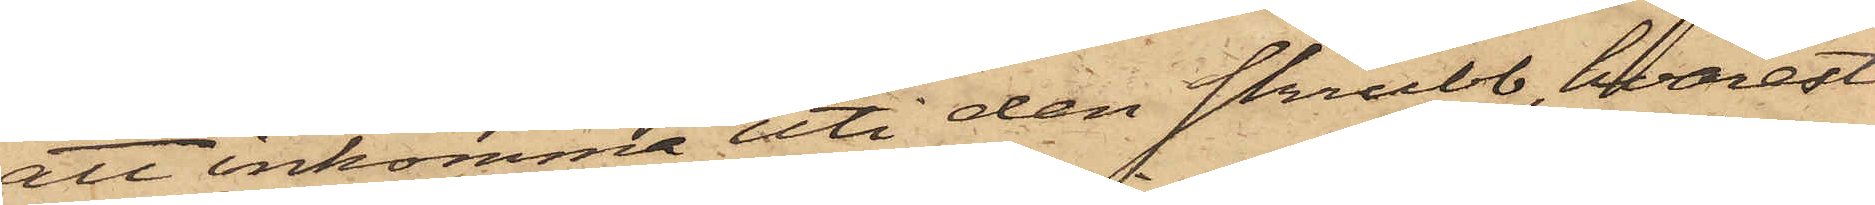att inkomma uti den skrubb, hvarest
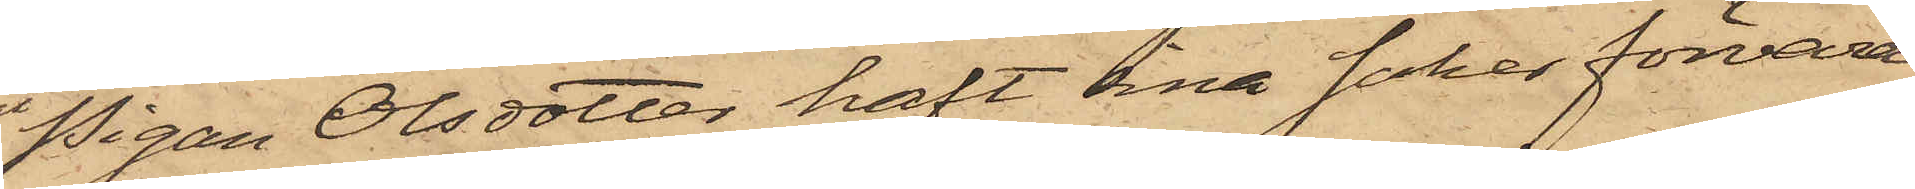Pigan Olsdotter haft sina saker förvara¬
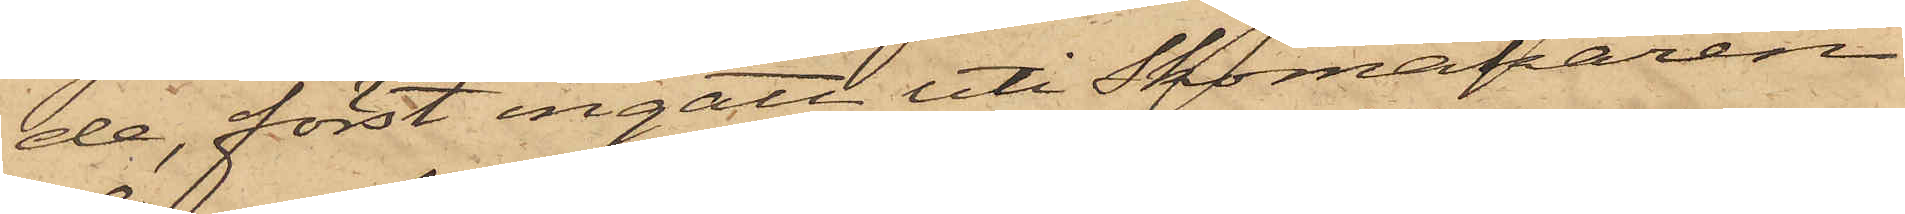de, först ingått uti Skomakaren
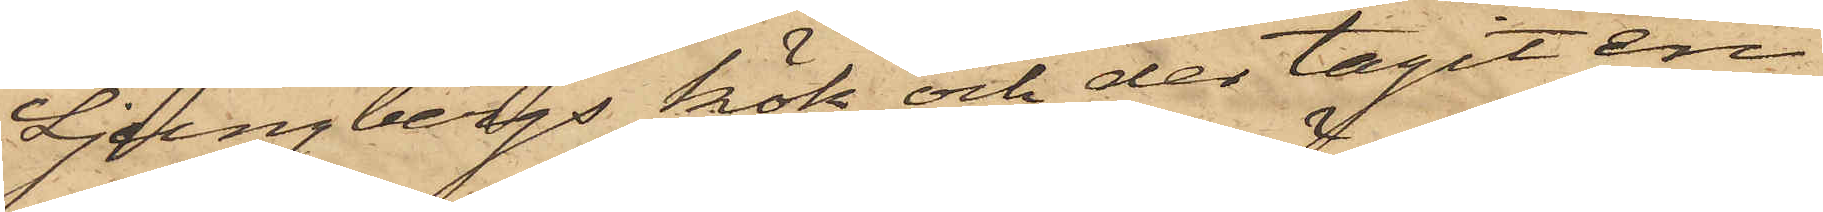Ljungbergs kök och der tagit en
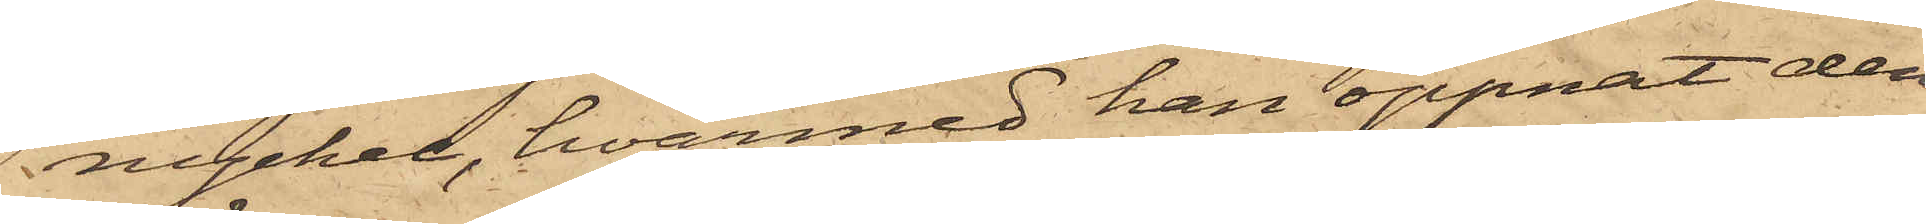nyckel, hvarmed han öppnat den
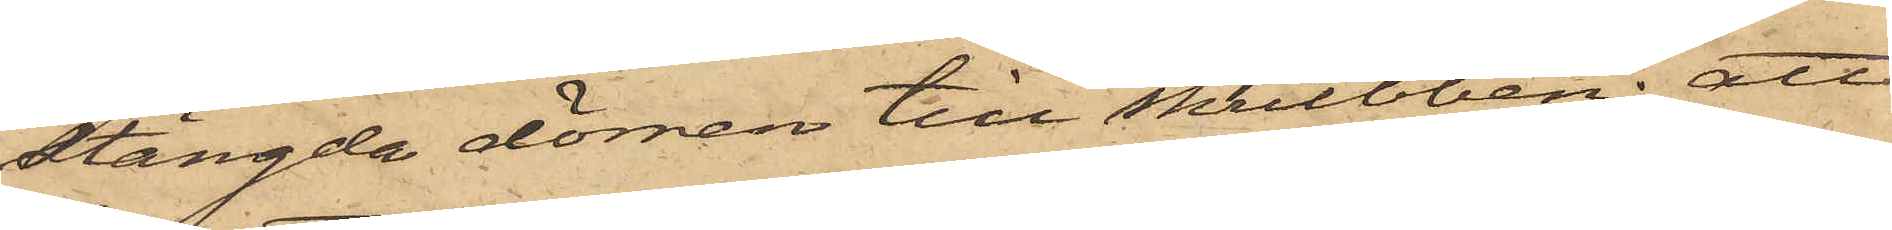stängda dörren till skrubben; att
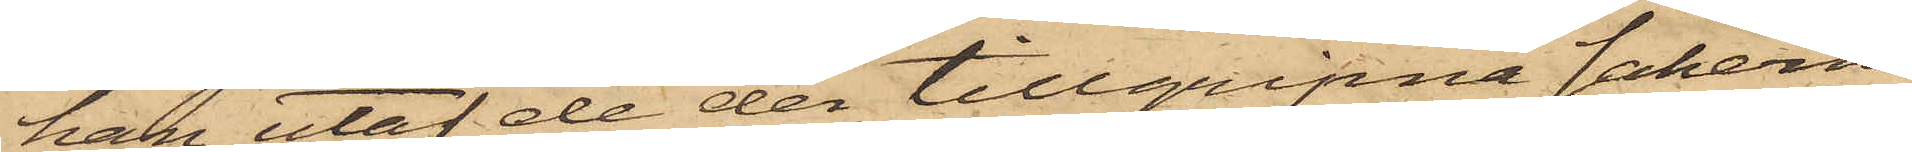han utaf de der tillgripne sakerna
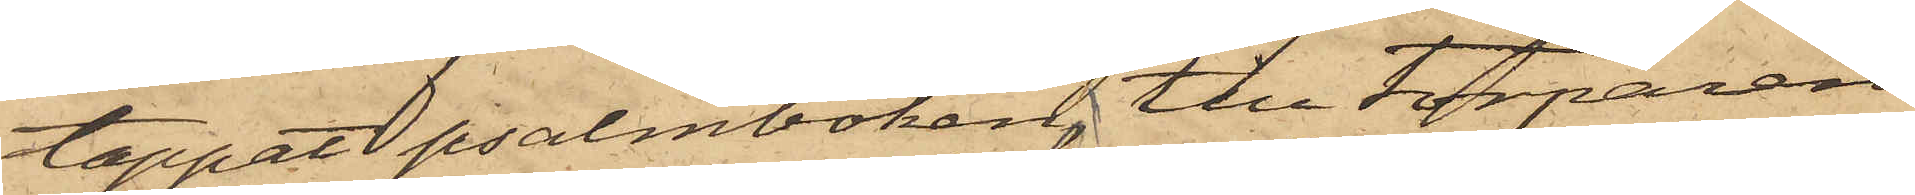tappat psalmboken, till Torparen
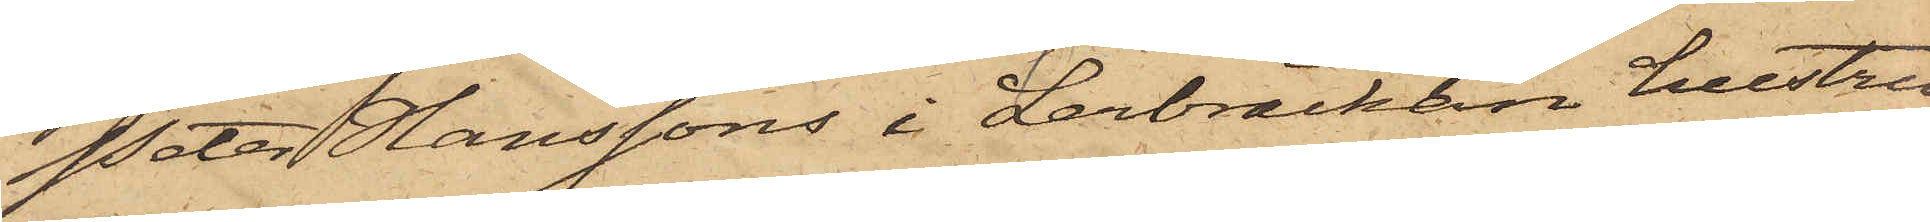Peter Hanssons i Lerbräckan hustru
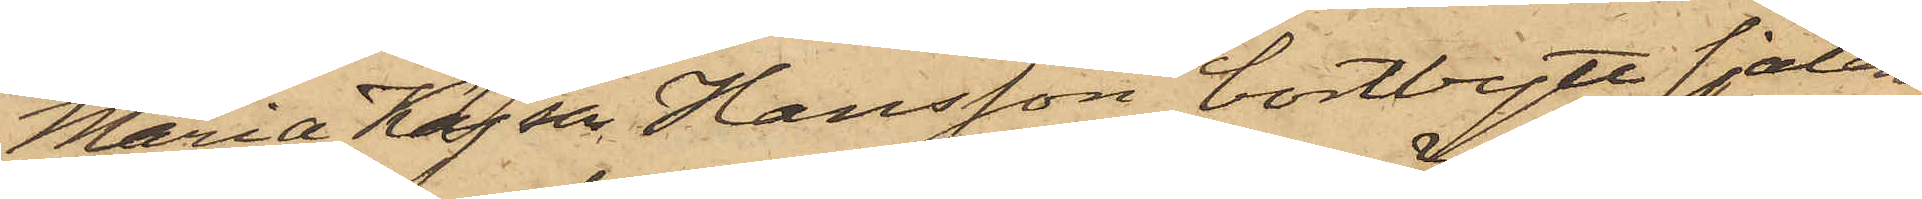Maria Kajsa Hansson bortbytt sjalen
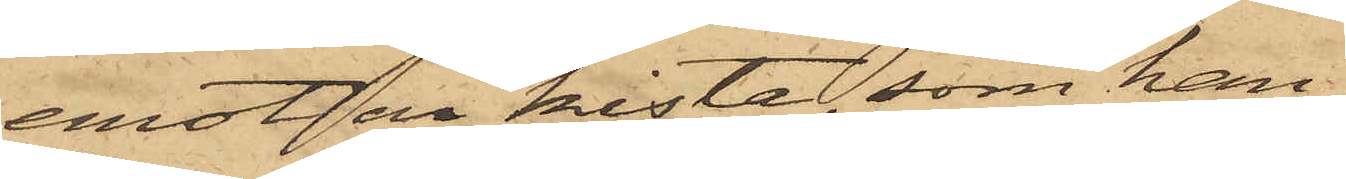emot en kista, som han
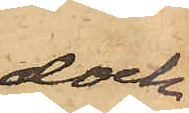dock
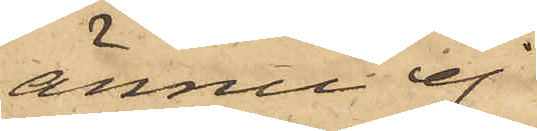ännu ej
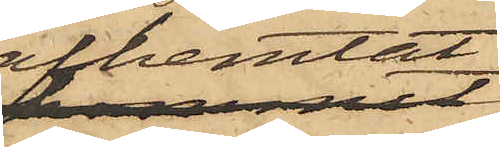afhemtat,
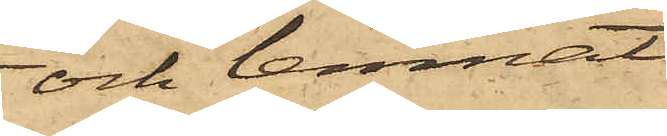och lemnat
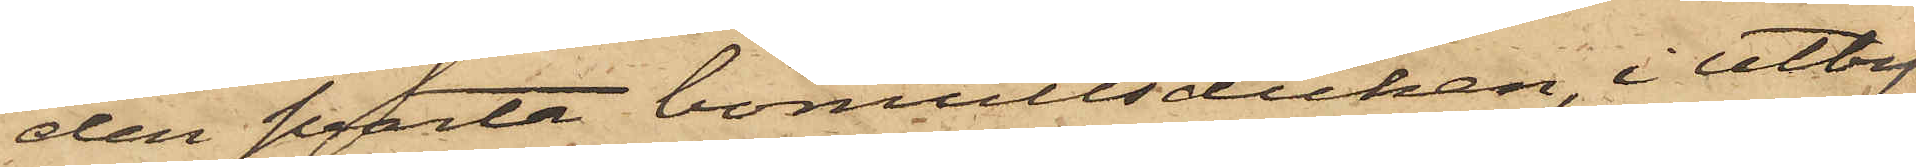den svarta bomullsduken, i utby¬
